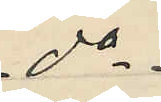do
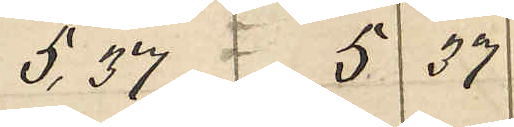5.37 5 37
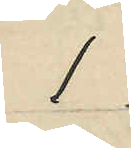l
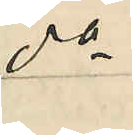do
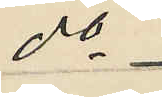do
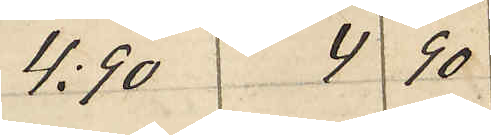4:90 4 90
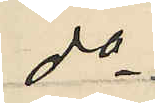do
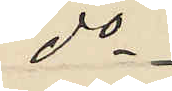do
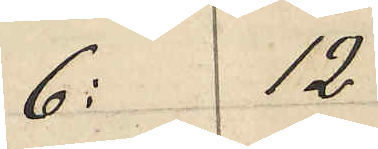6: 12
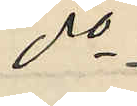do
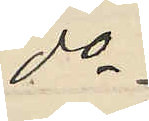do
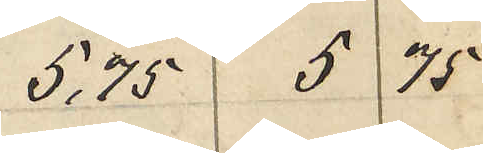5,75 5 75
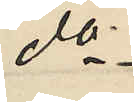do
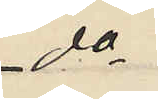do
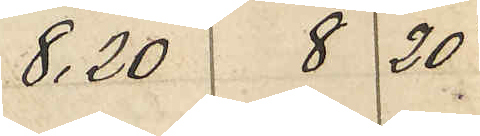8,20 8 20
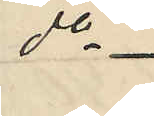do
